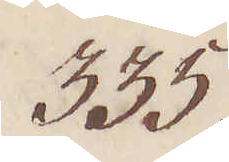335.
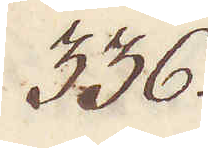336.
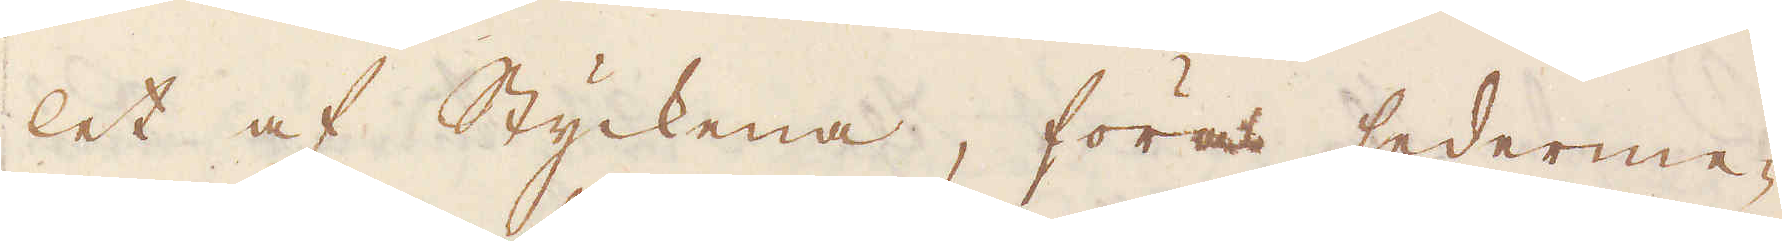let af Styckena, föras sederme-
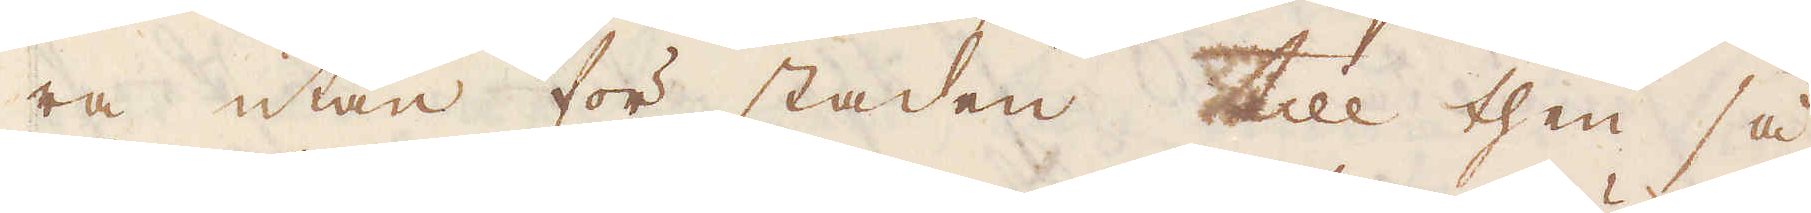ra utan för staden till then så
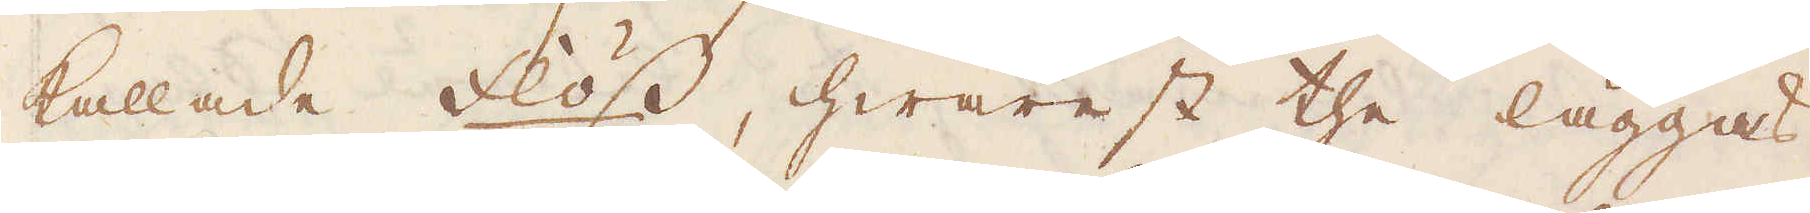kallade Flöss, hwarest the läggas
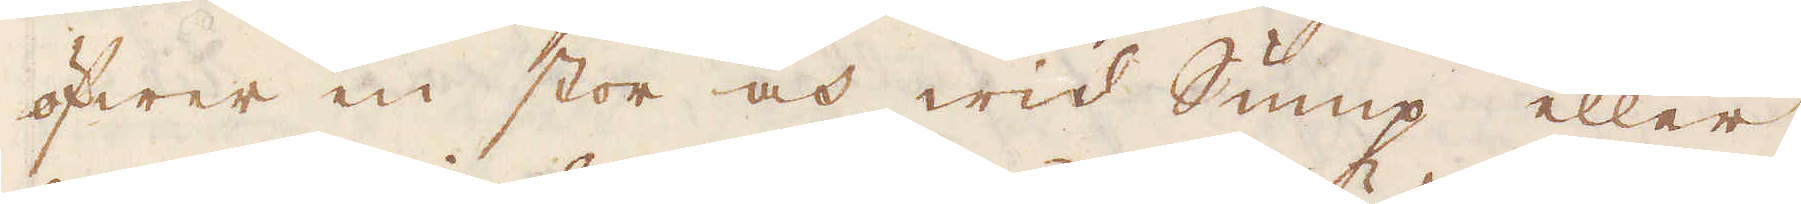öfwer en stor och wid Sump eller
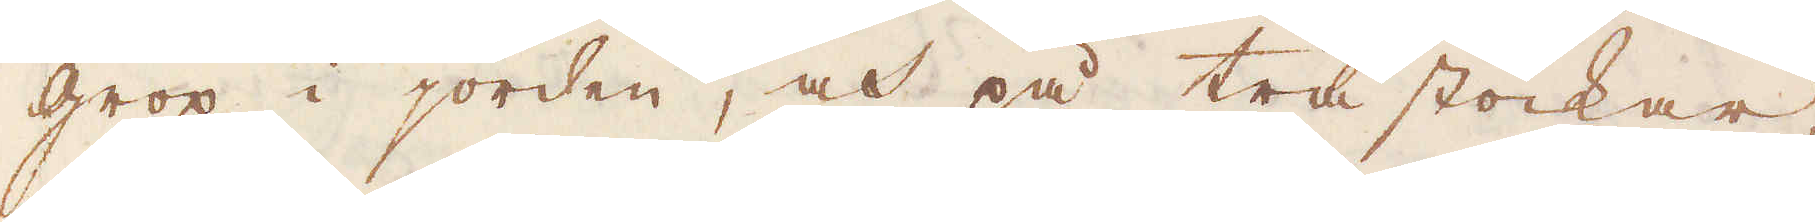grop i jorden, och på trästockar,
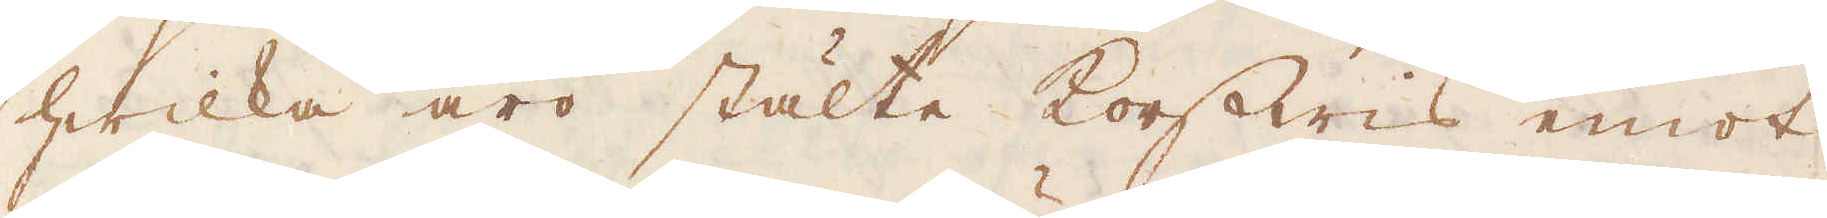hwilka äro stälte korswis emot
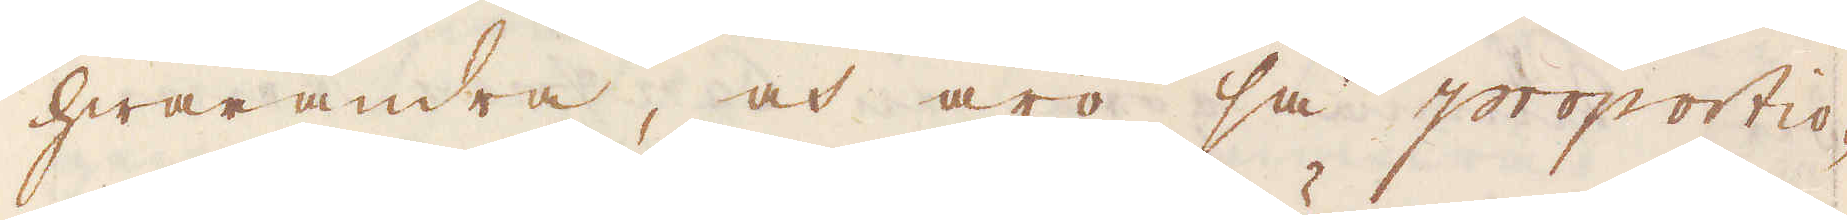hwarandra, och äro så proportio-
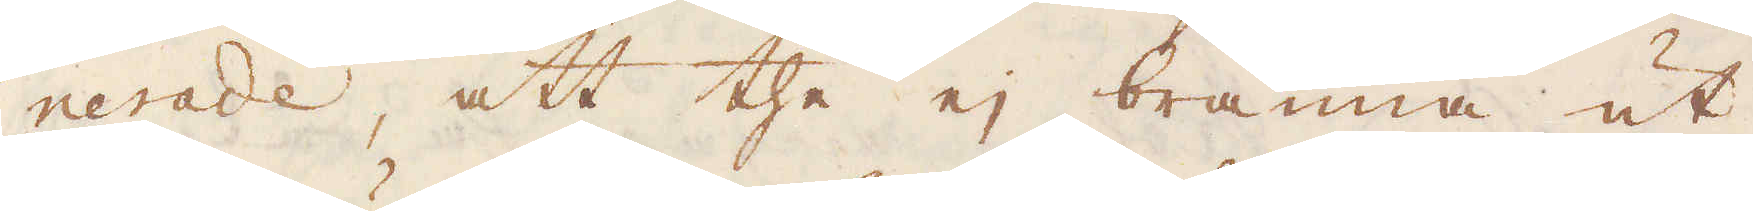nerade, att the ej bränna ut
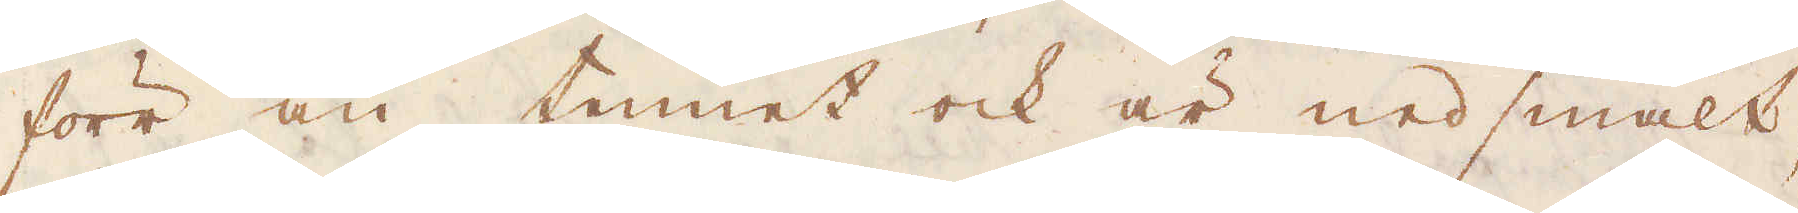förr än tennet ock är nedsmält,
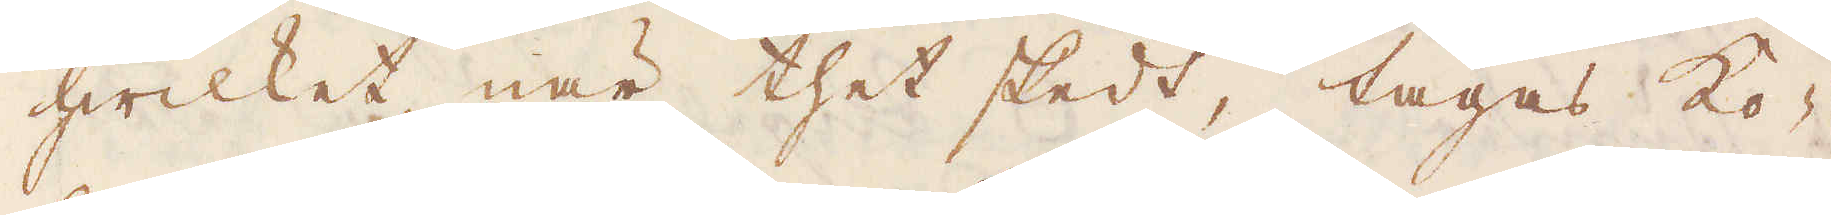hwilket, när thet skedt, tagas ko-
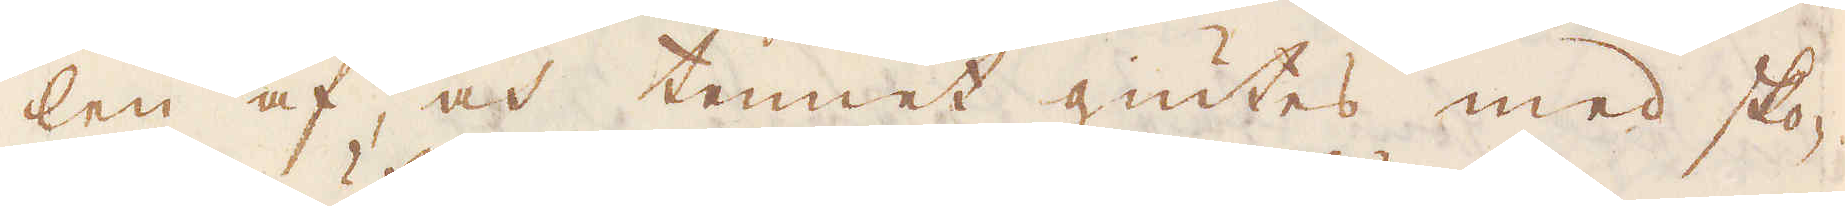len af, och tennet giutes med sko-
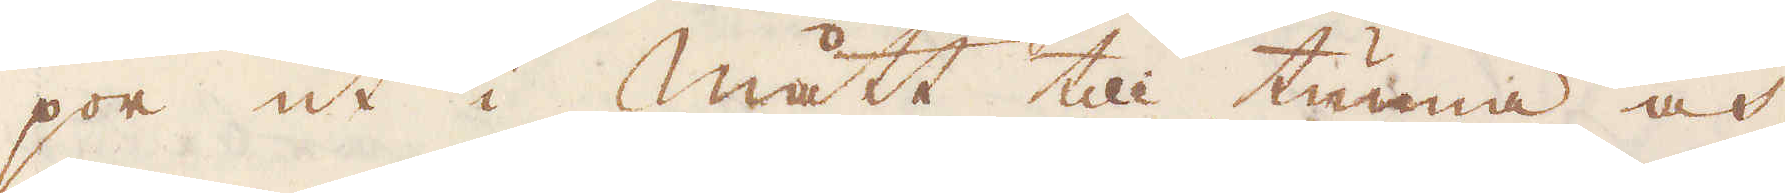por ut i mått till tunna och
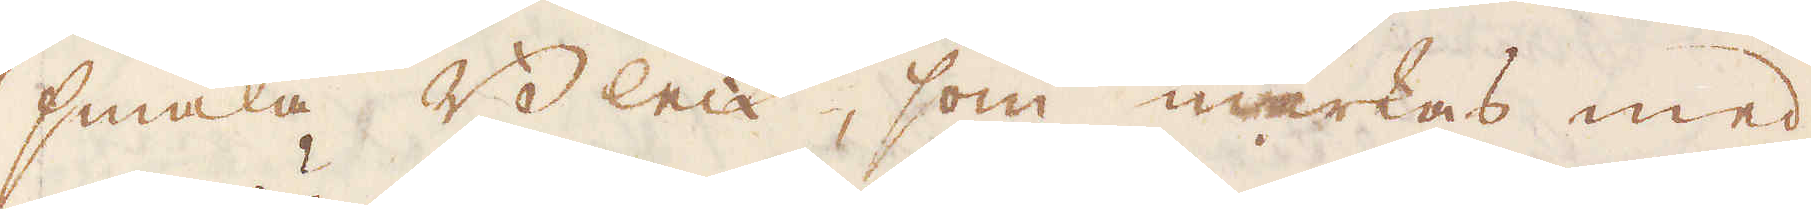smala Bleck, som märkas med
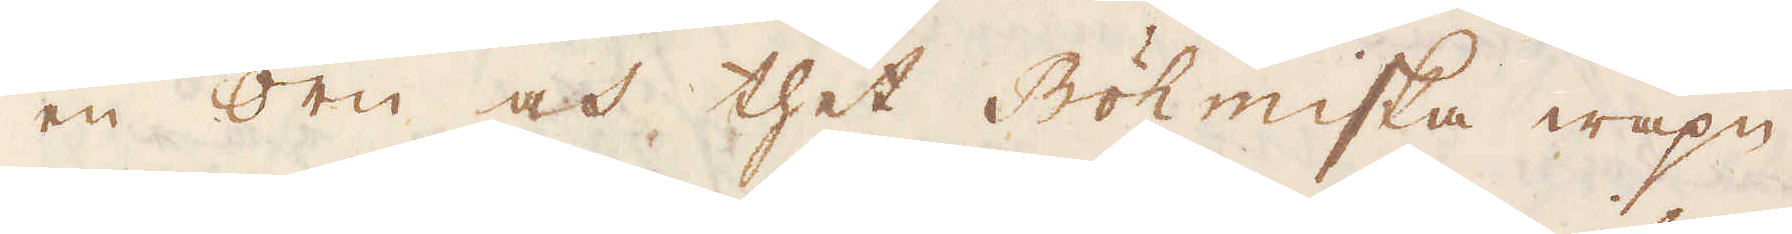en Örn och thet Böhmiska wapn
